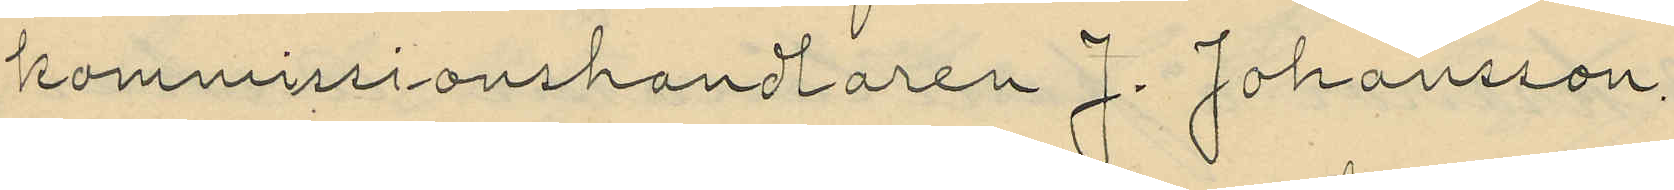kommissionshandlaren J. Johansson.
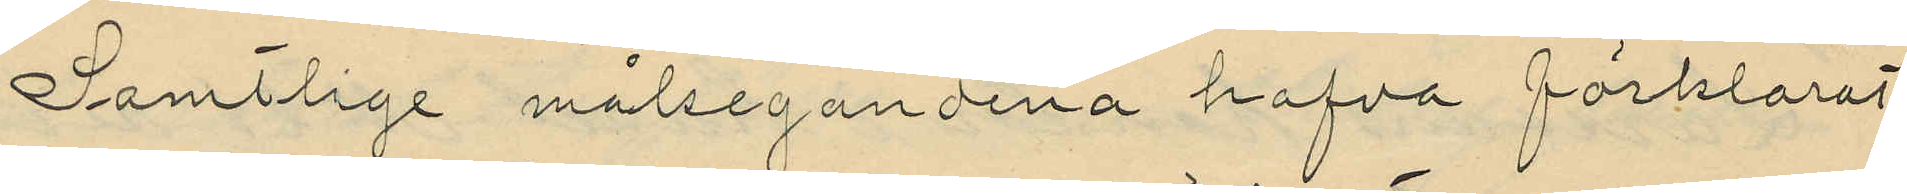Samtlige målsegandena hafva förklarat
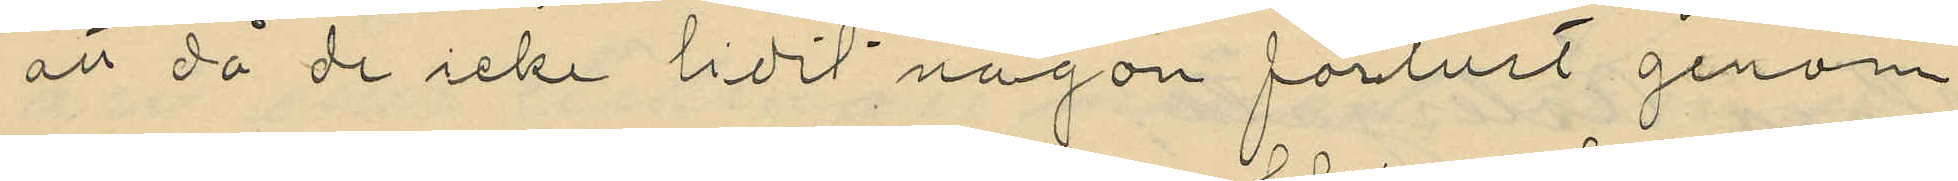att då de icke lidit någon förlust genom
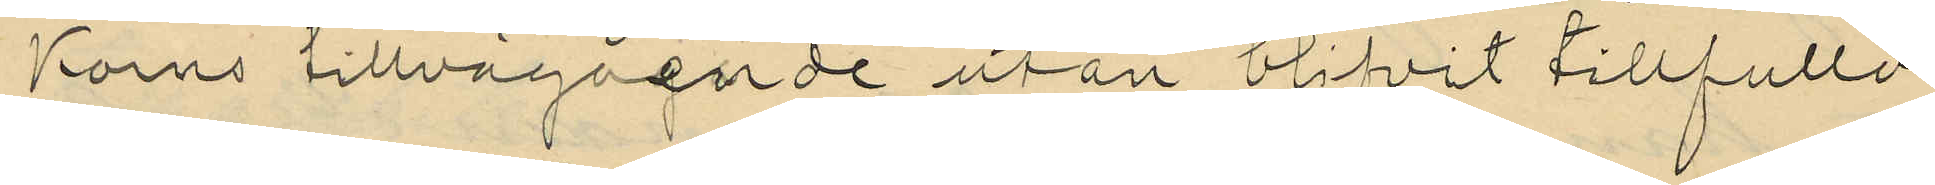Korns tillvägående utan blifvit tillfullo
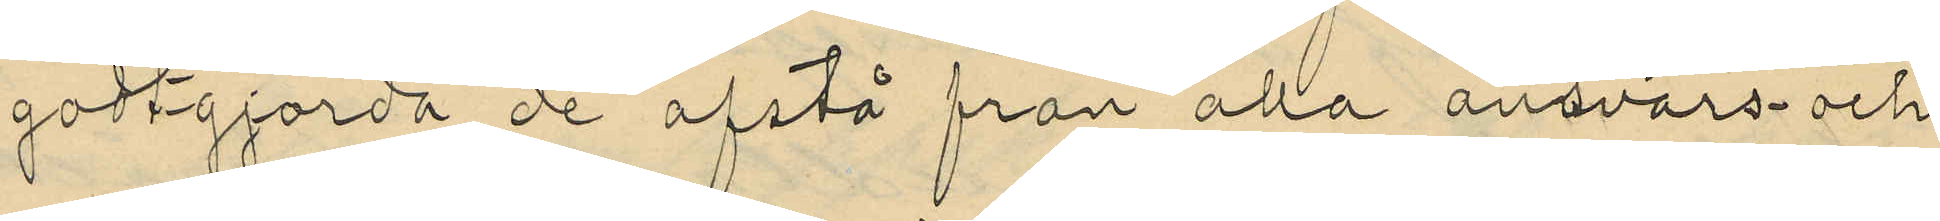godtgjorda de afstå från alla ansvars- och
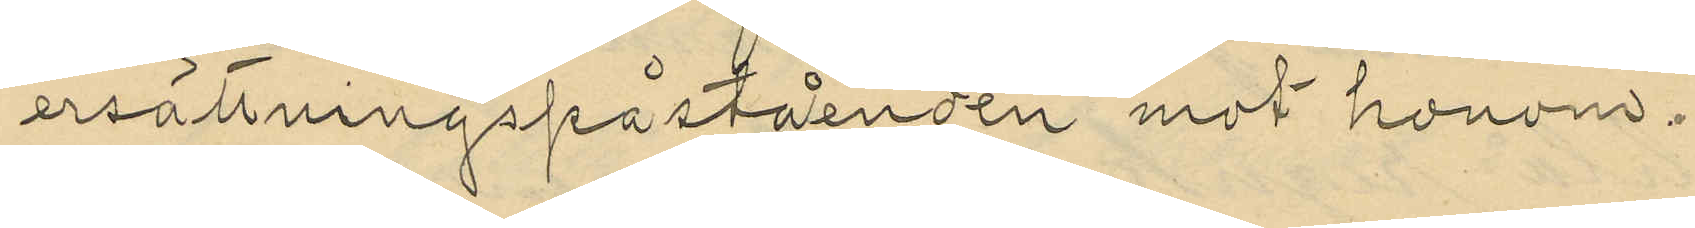ersättningspåståenden mot honom.
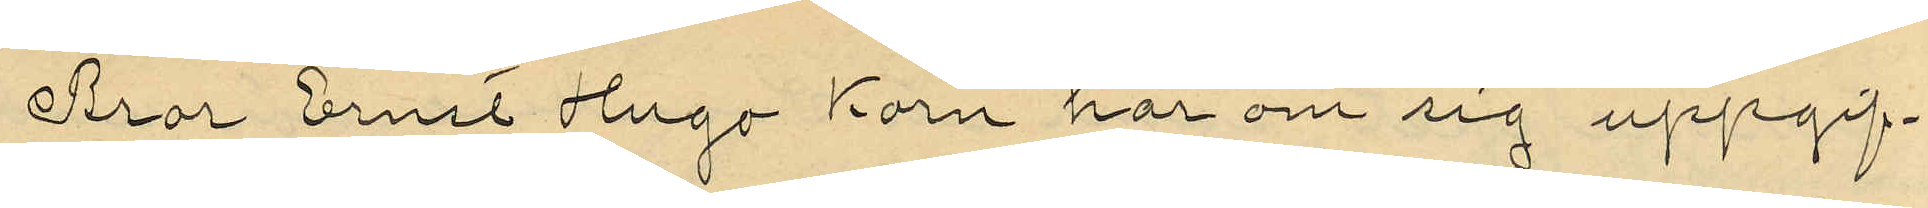Bror Ernst Hugo Korn har om sig uppgif¬
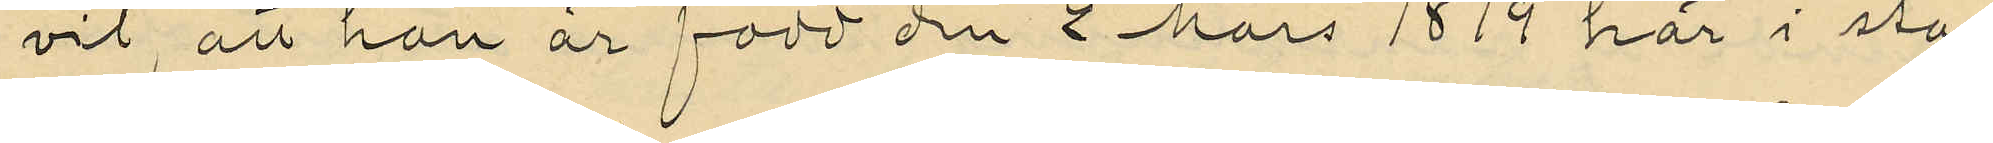vit att han är född den 2 Mars 1879 här i sta¬
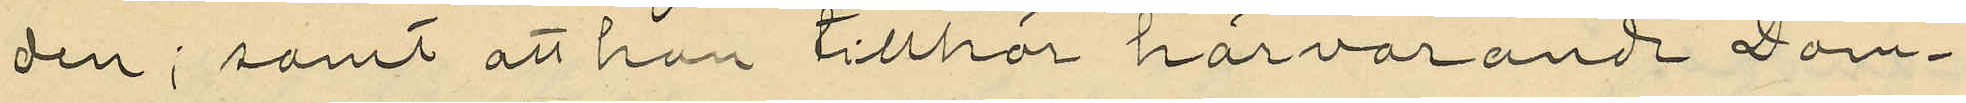den; samt att han tillhör härvarande Dom¬
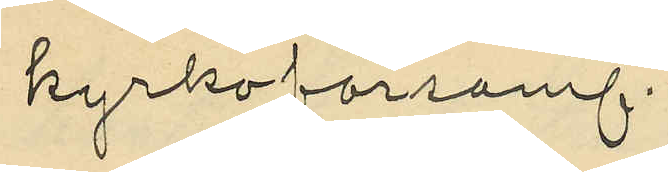kyrkoförsaml.
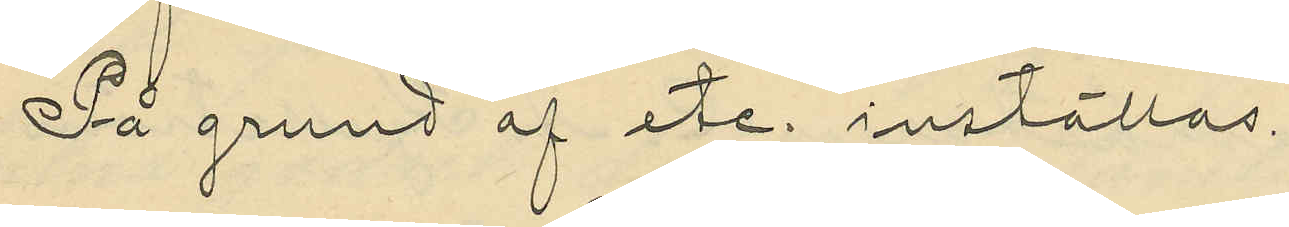På grund af etc. inställas.
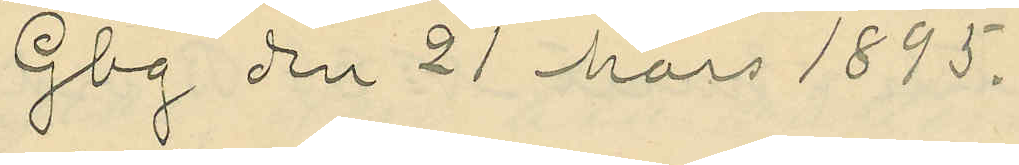Gbg den 21 Mars 1895.
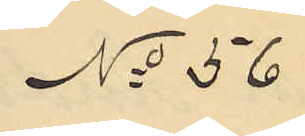No 56
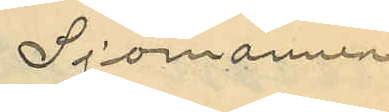Sjömannen
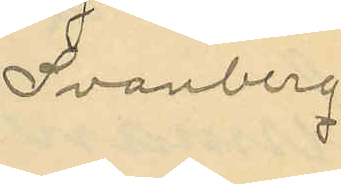Svanberg
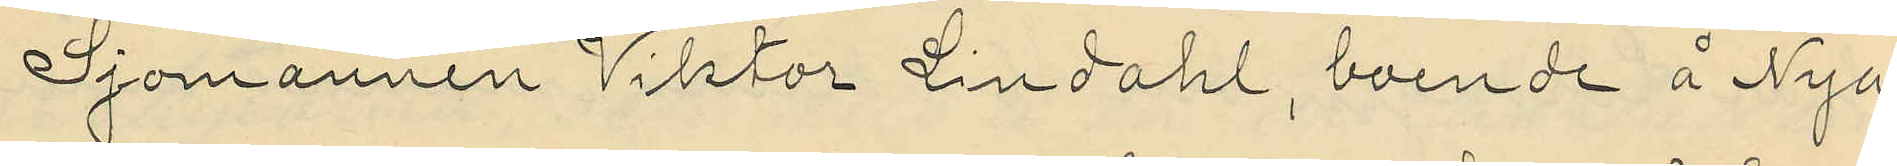Sjömannen Viktor Lindahl, boende å Nya
